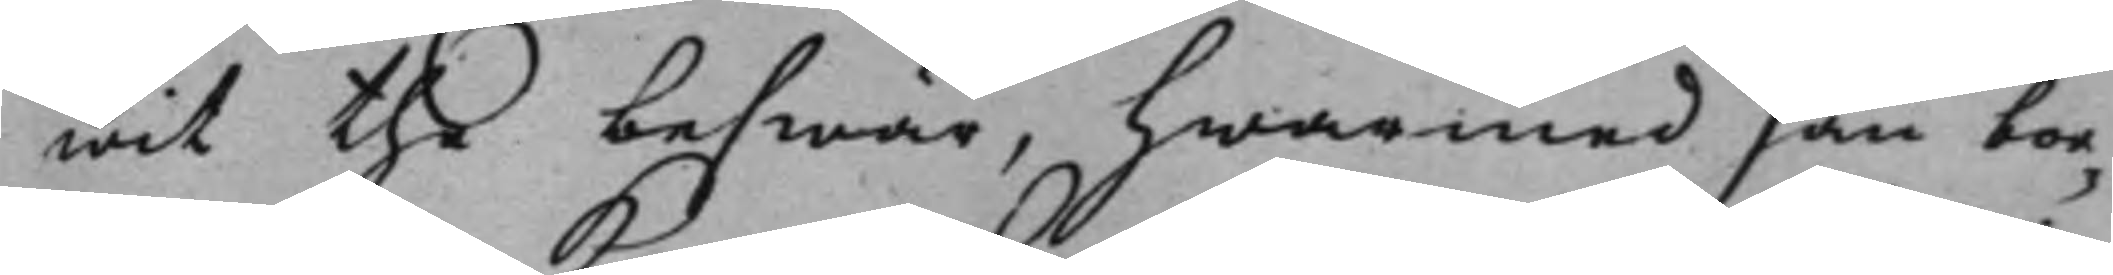wit the beswär, hwarmed han bor¬
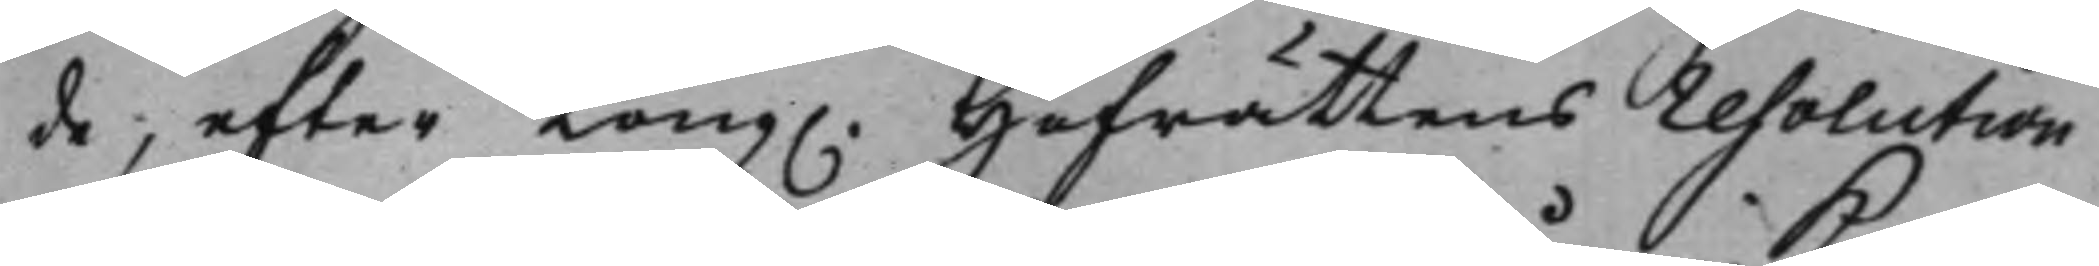de, efter Kong. Hofrättens resolution 
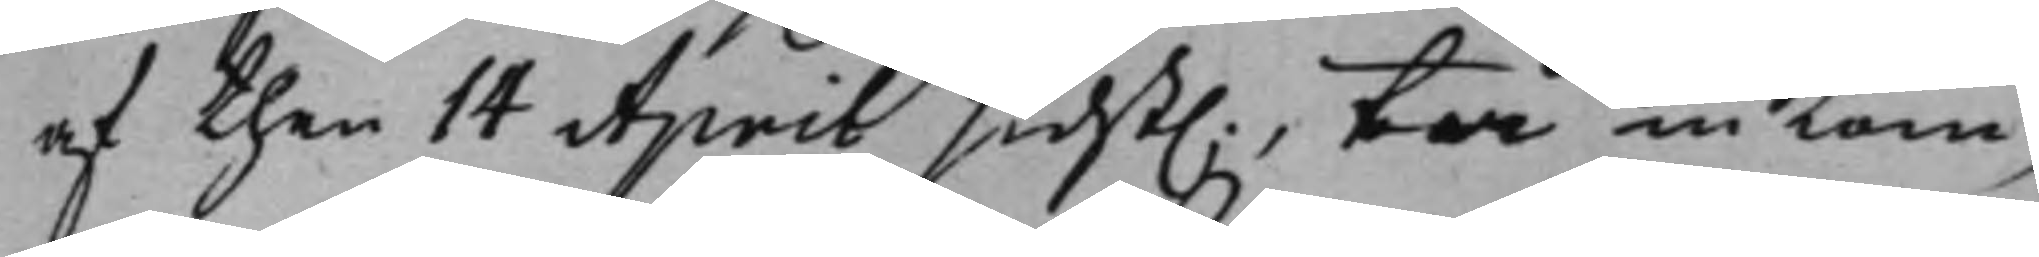af then 14 April sidst., tå inkom¬ 
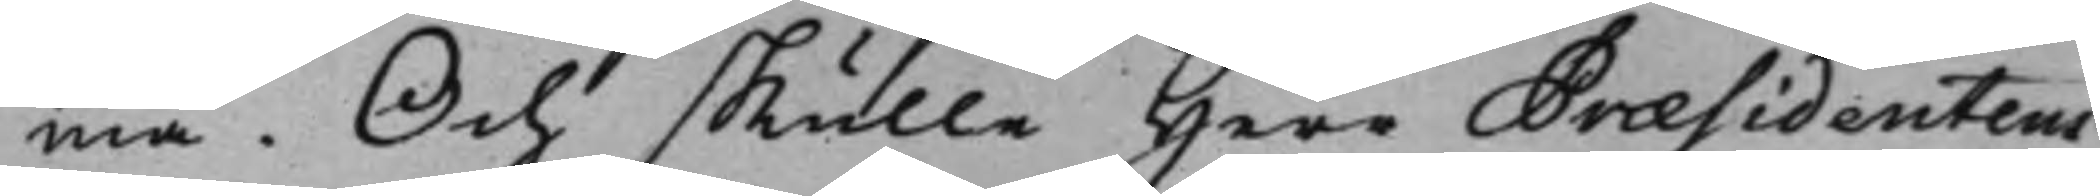ma. Och skulle Herr Præsidentens
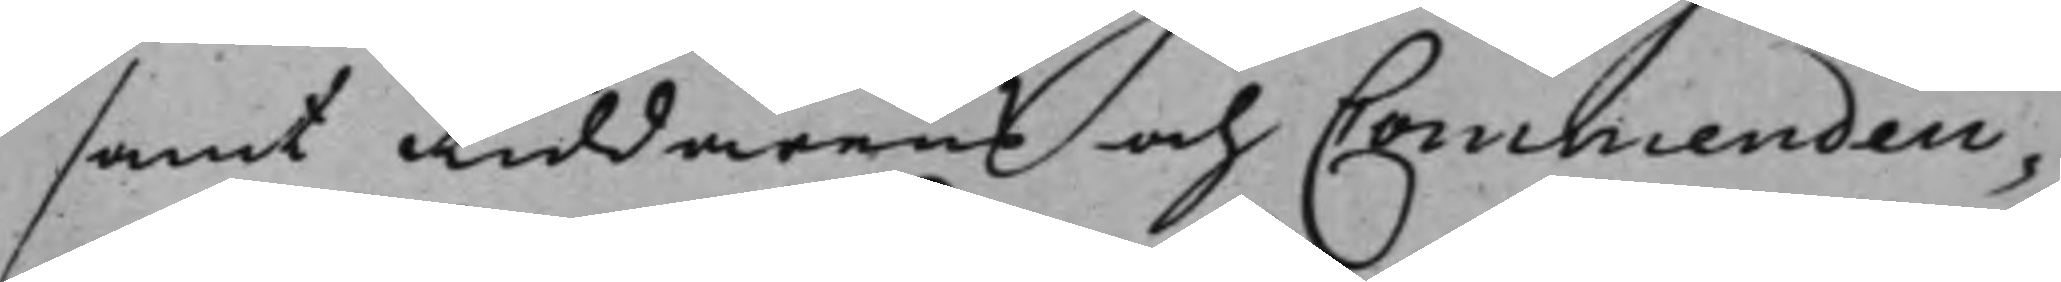samt Riddarens och Commendeu¬
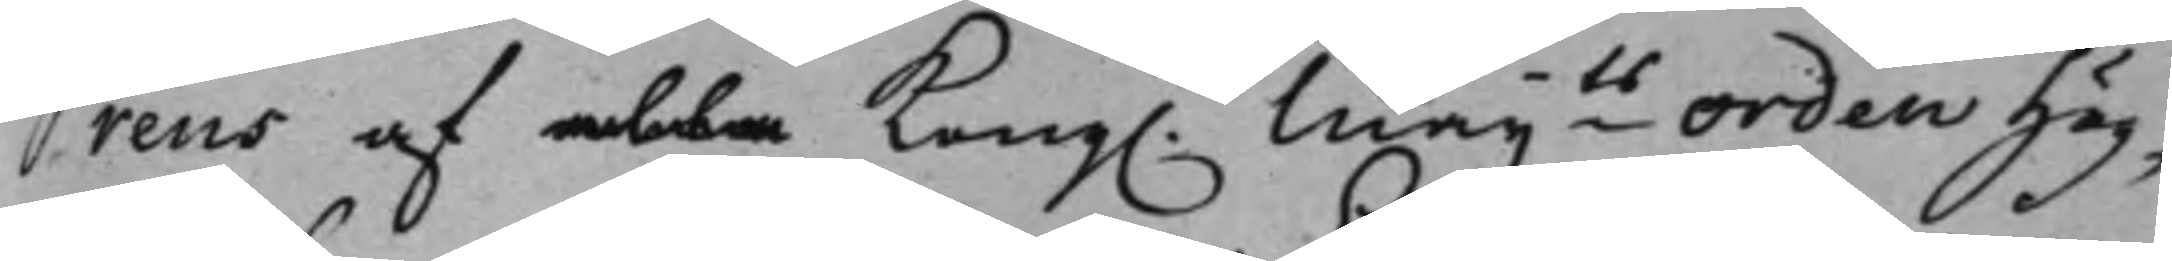rens af alla Kong. Maijts Orden Hög¬ 
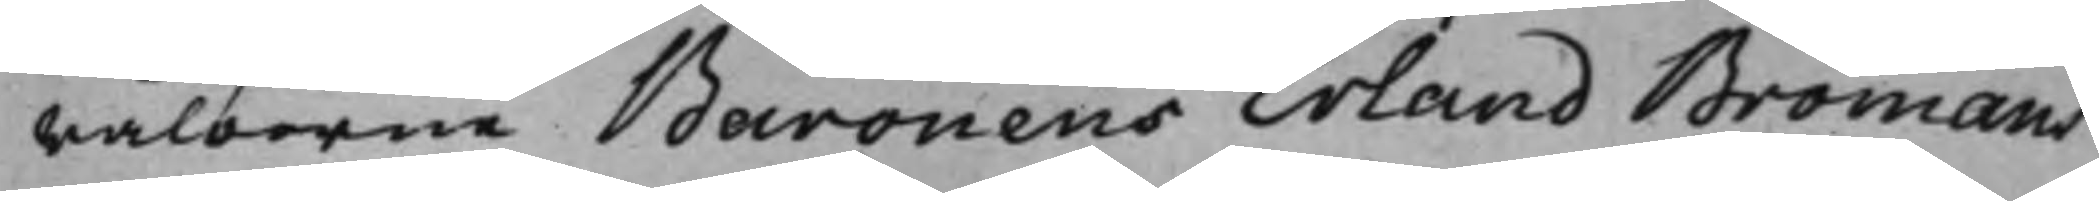wälborne Baronens Erland Bromans
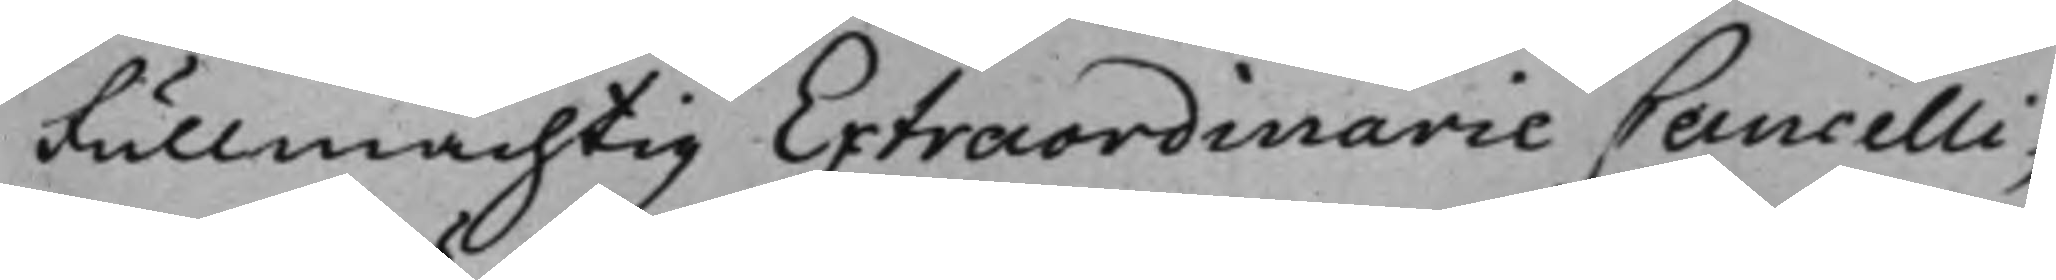Fullmächtig Extraordinarie Cancelli¬
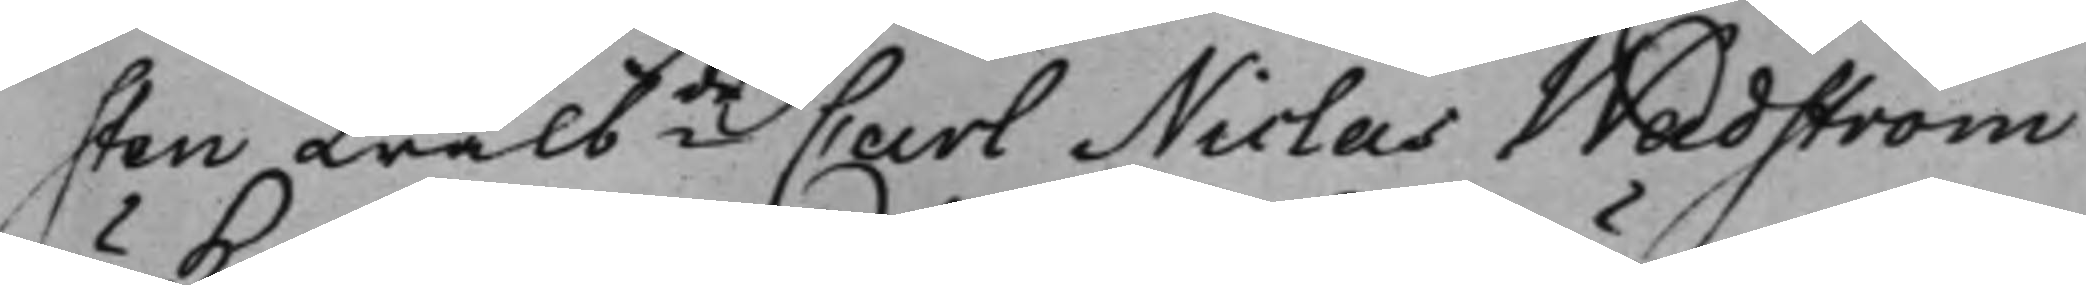sten Wälbde Carl Niclas Wadström 
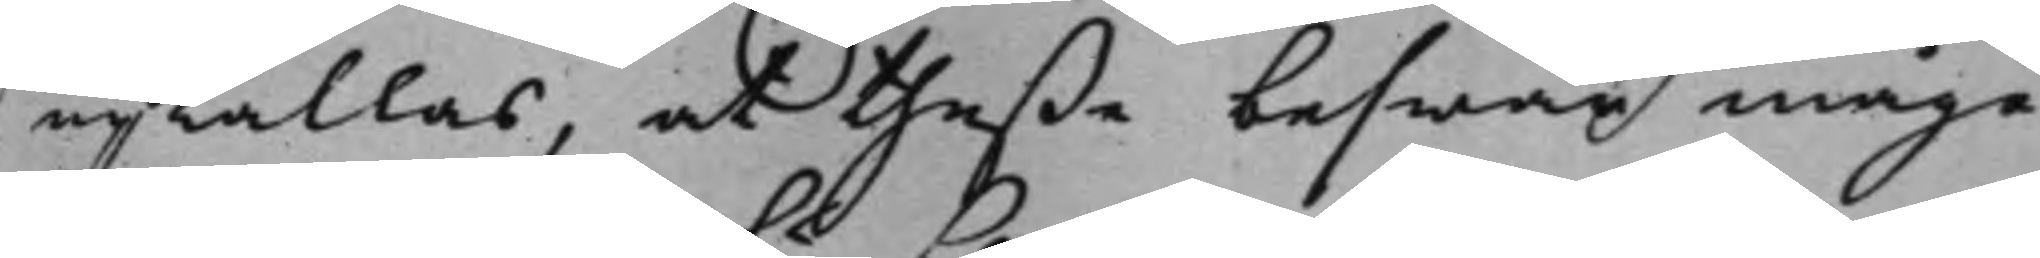upkallas, at theße beswär måge
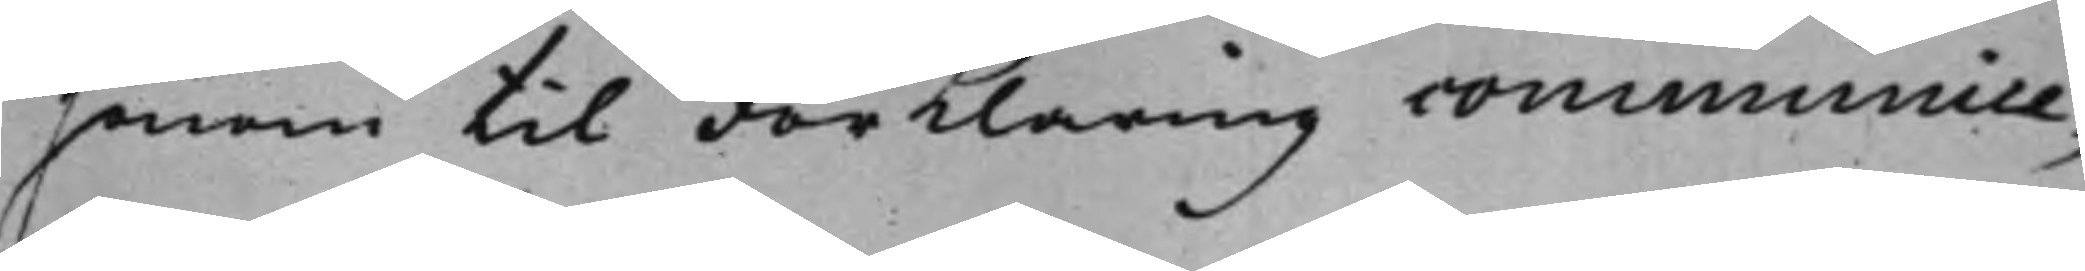honom til Förklaring communice¬
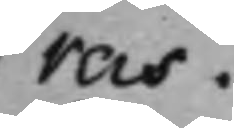ras.
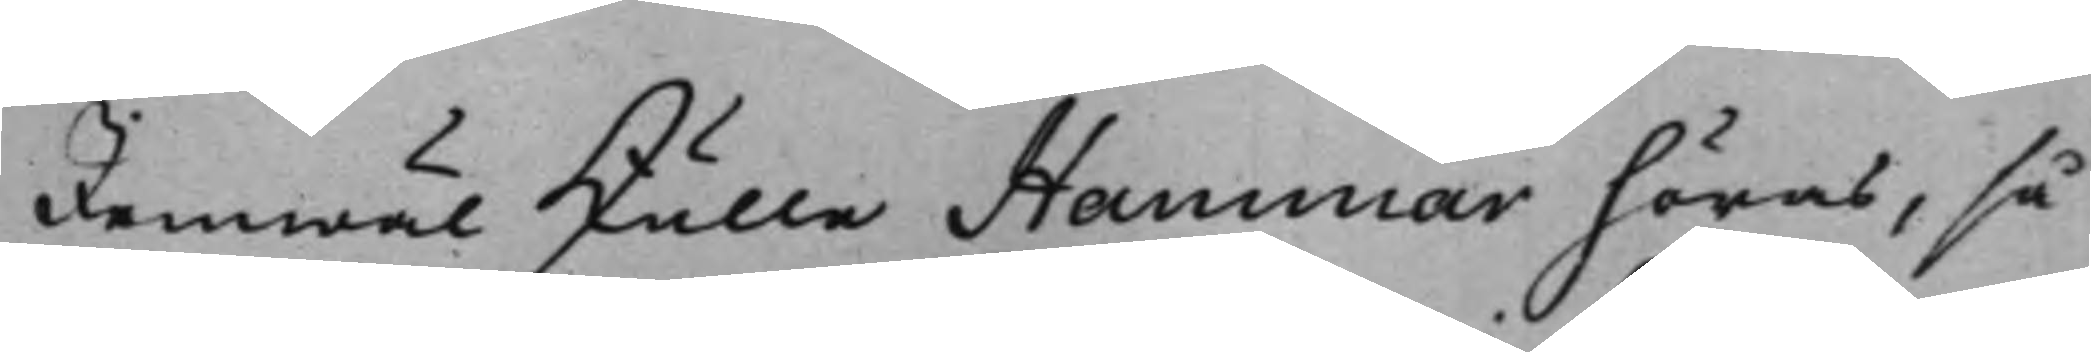Jemwäl skulle Hammar höras, så
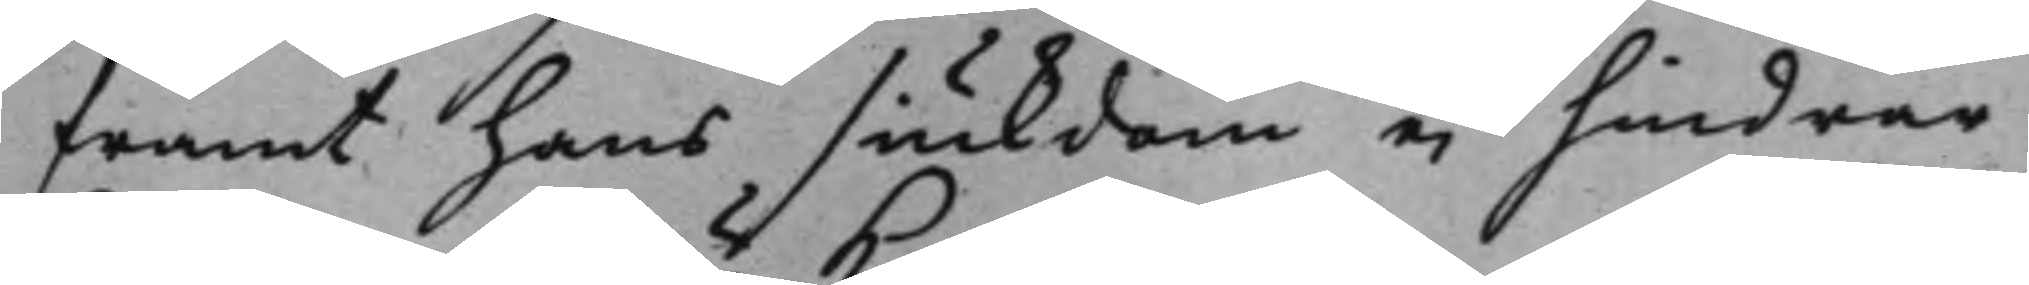framt hans siukdom ei hindrar
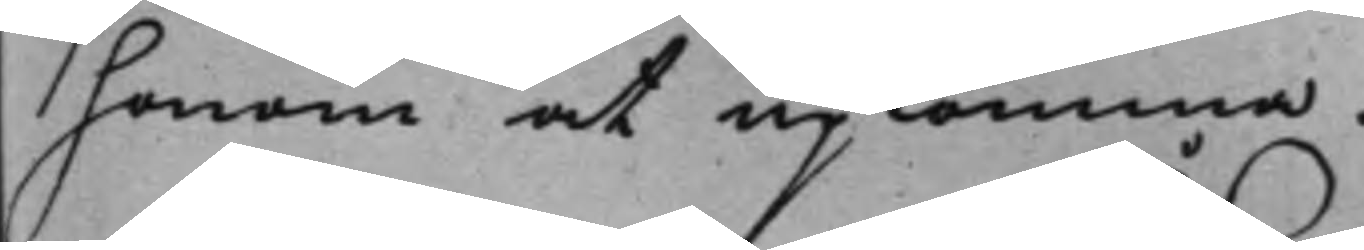honom at upkomma.
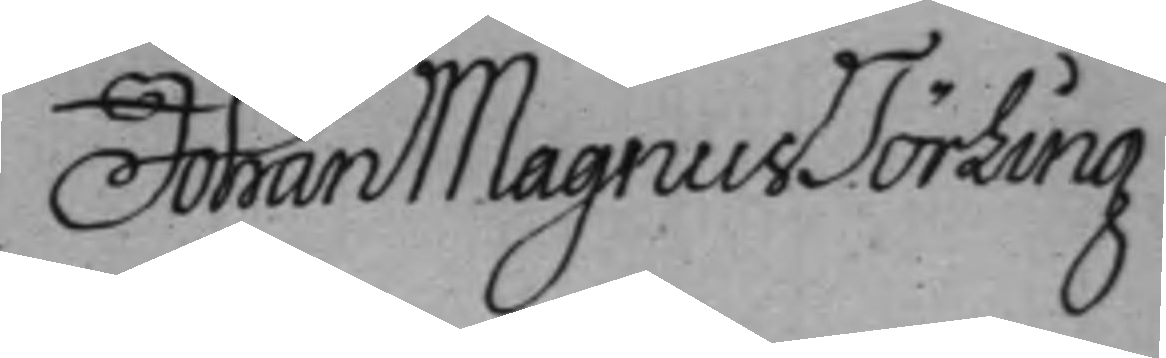Johan Magnus Törling
